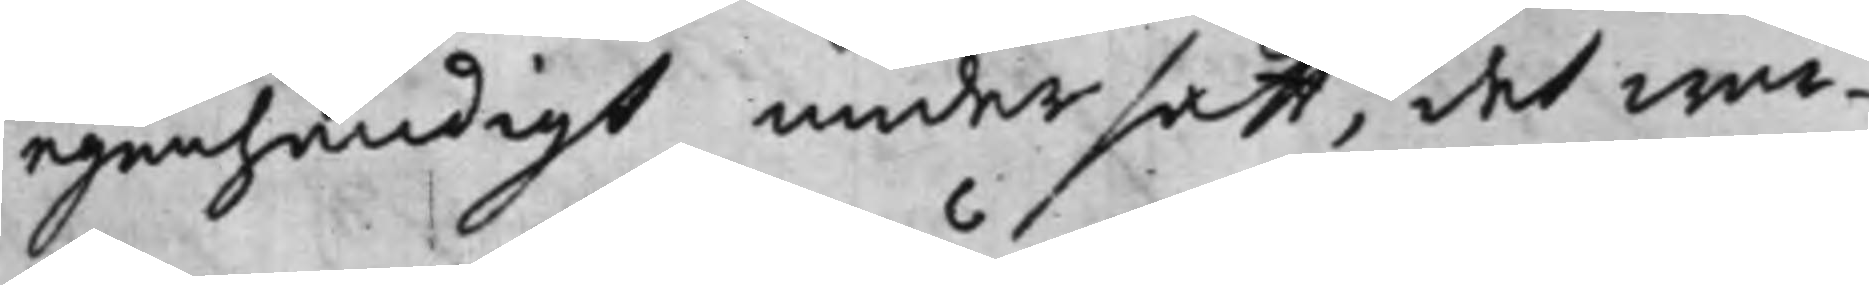egenhändigt under satt, det war¬
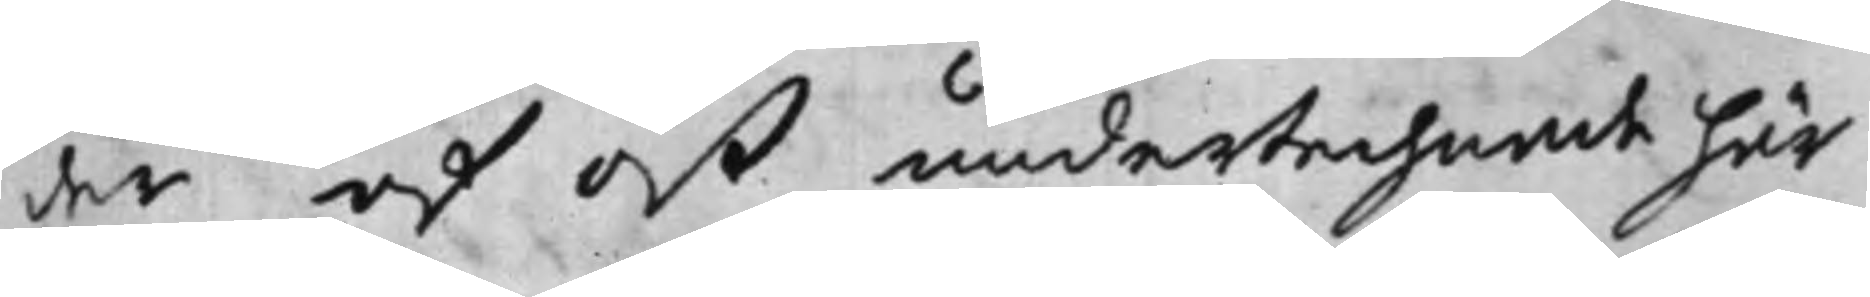der af oß undertechade här¬
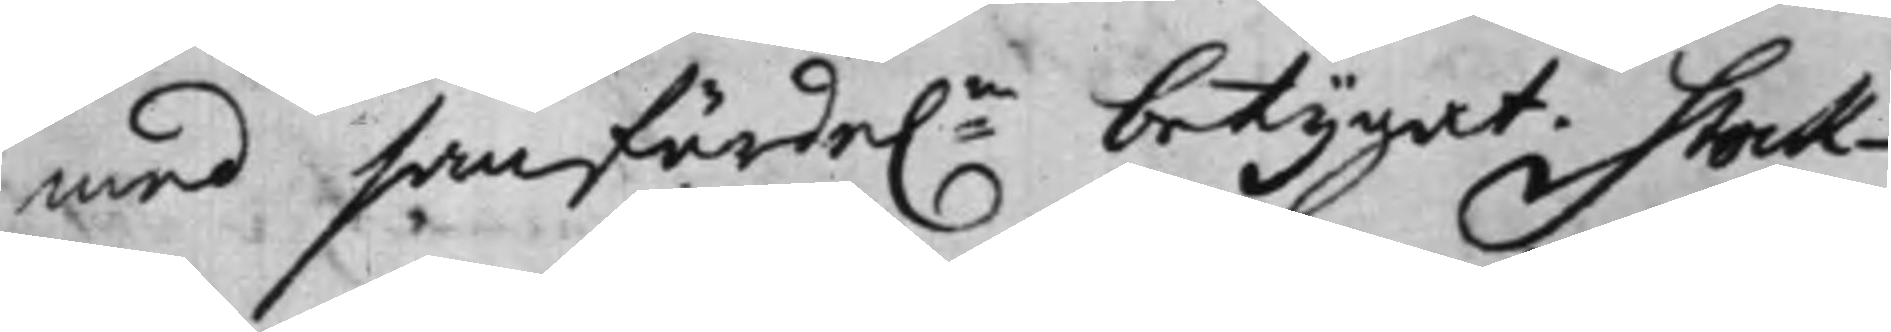med sanfärde:n betygat. Stock¬
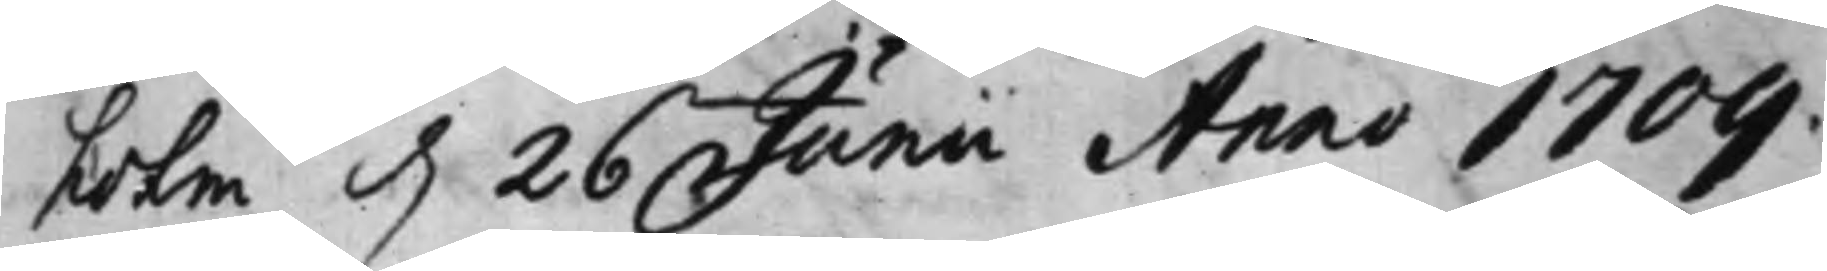holm d. 26 Junii Anno 1709.
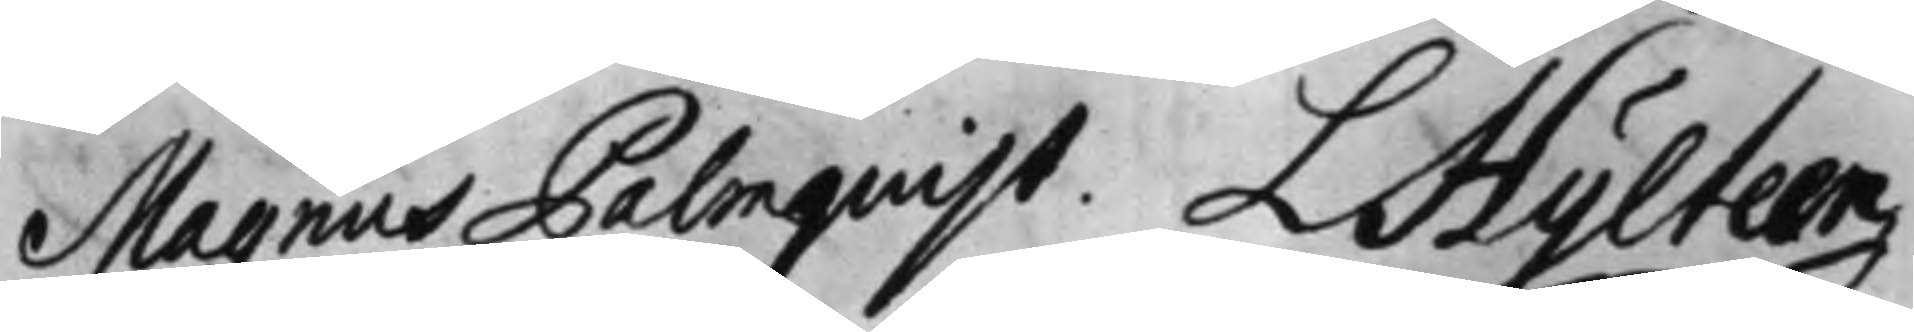Magnus Palmquist. L Hylteen
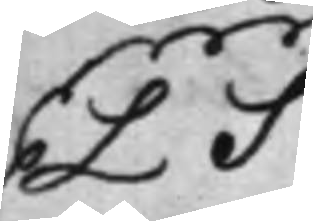LS
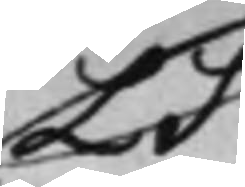LS
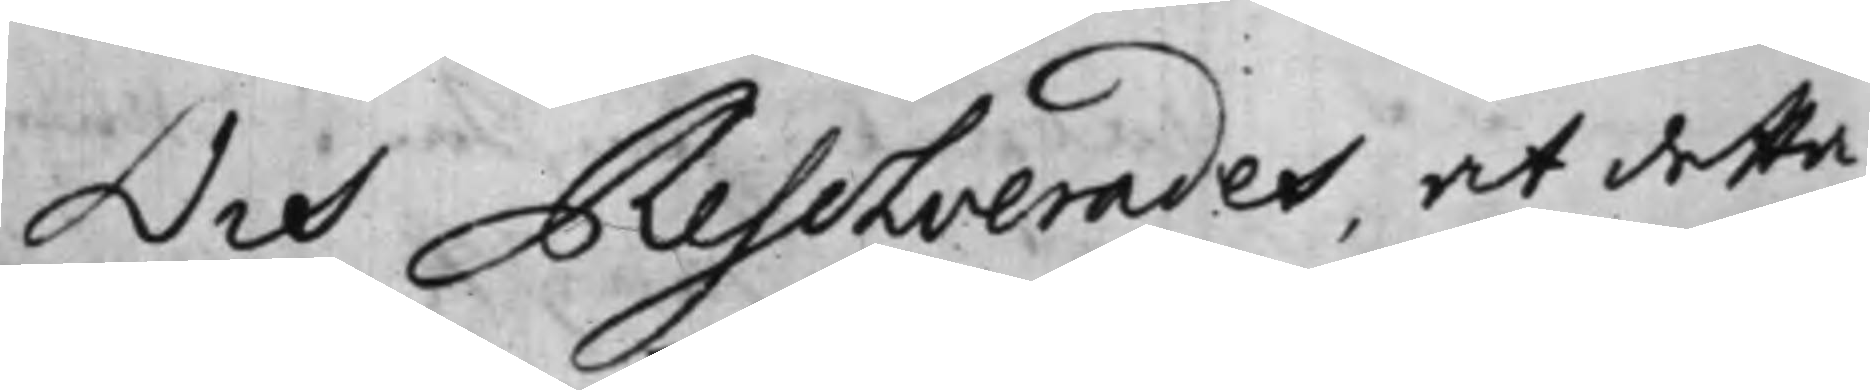Och Resolverades, at detta
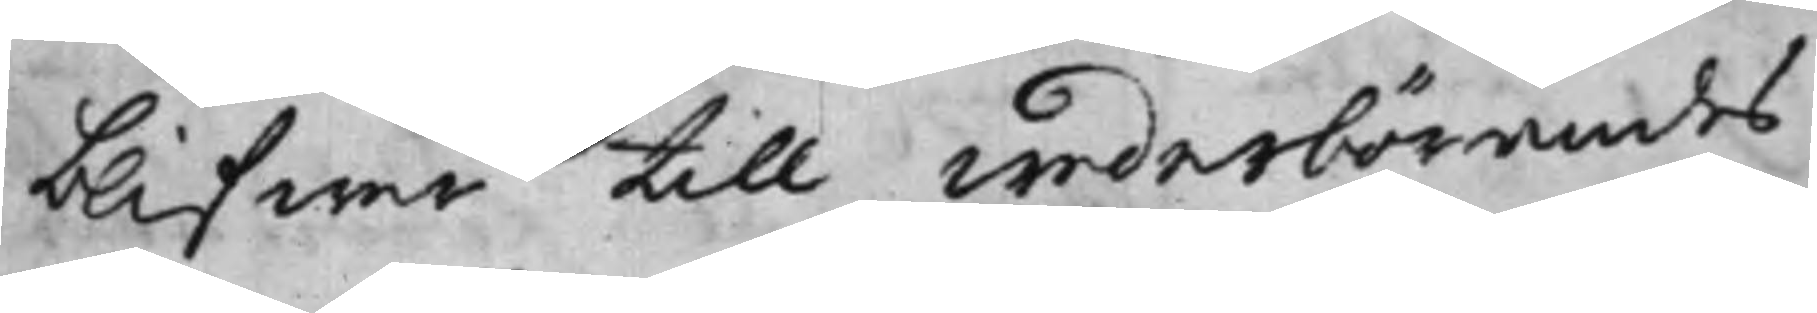blifwer till wederbörandes
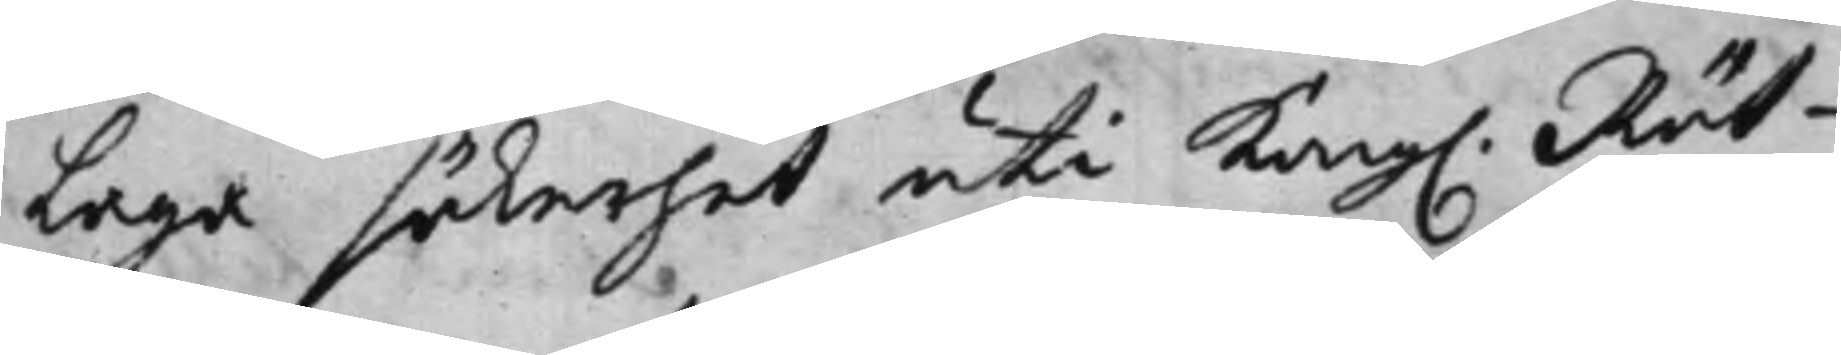Laga säkerhet uti Kong. Rät¬
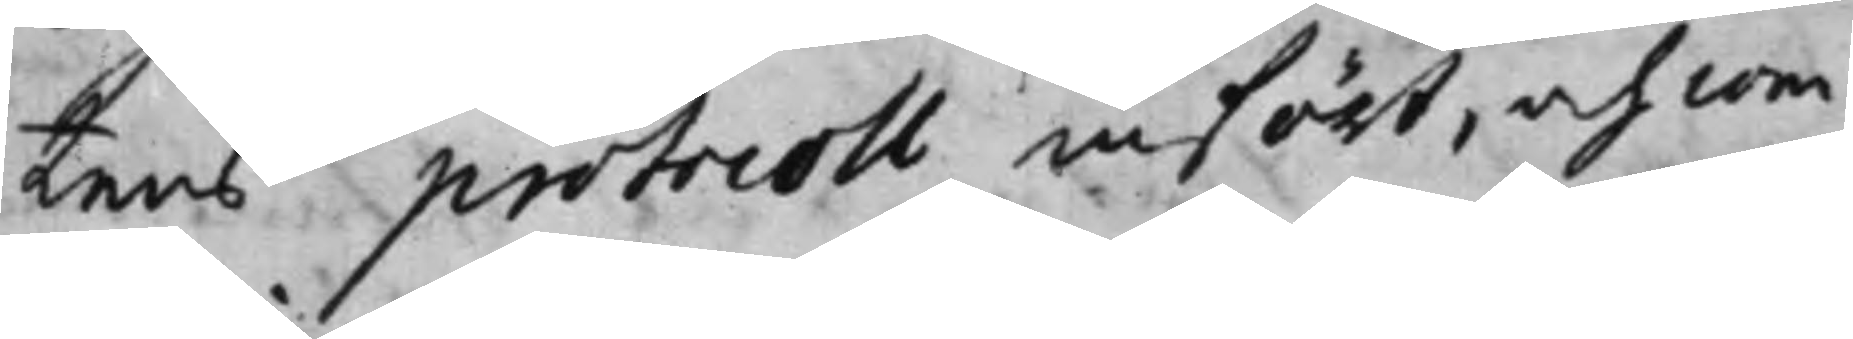tens protocoll infört, och com¬
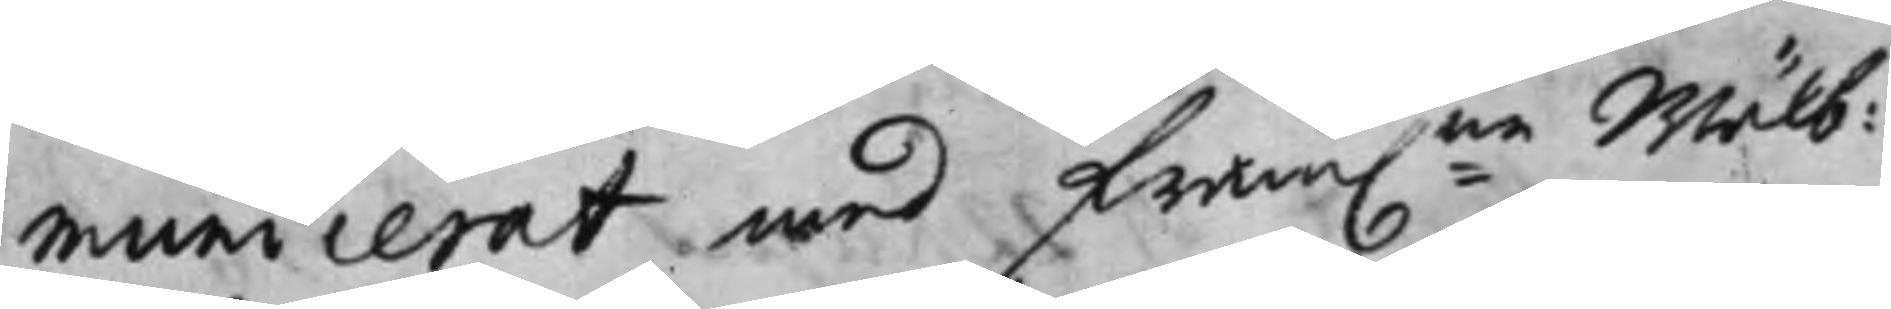municerat med fram:na Wälb:
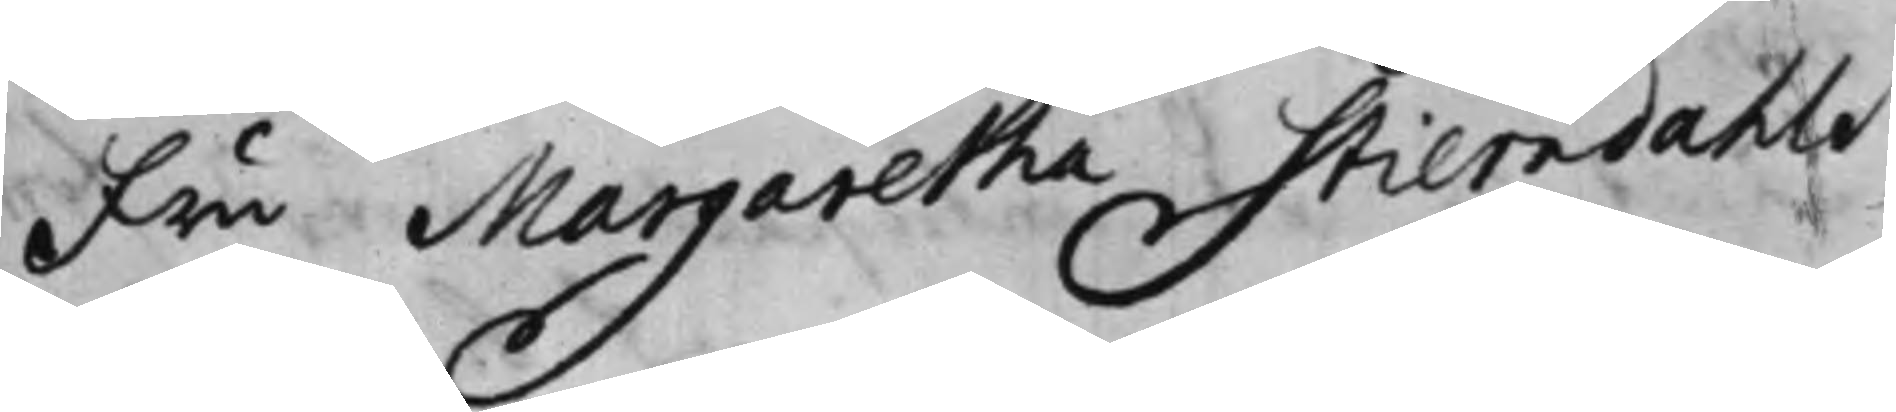Fru Margaretha Stierndahls
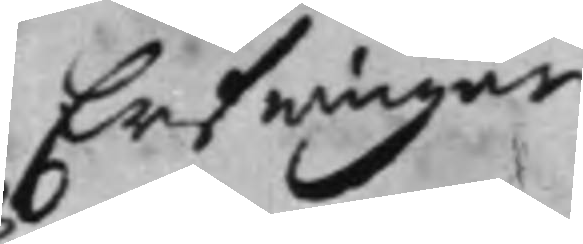Erfwingar
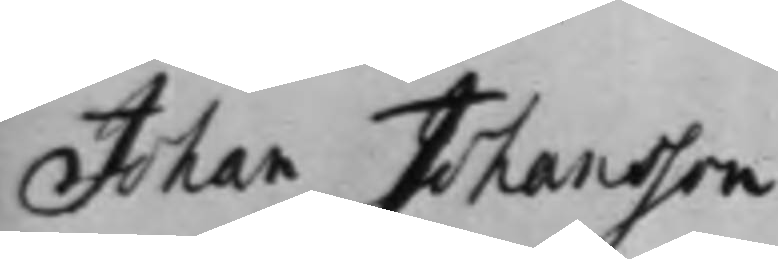Johan Johansson
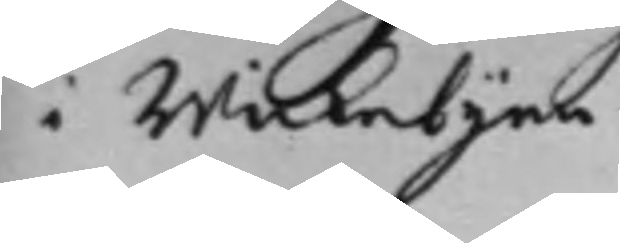i Wickebyen
